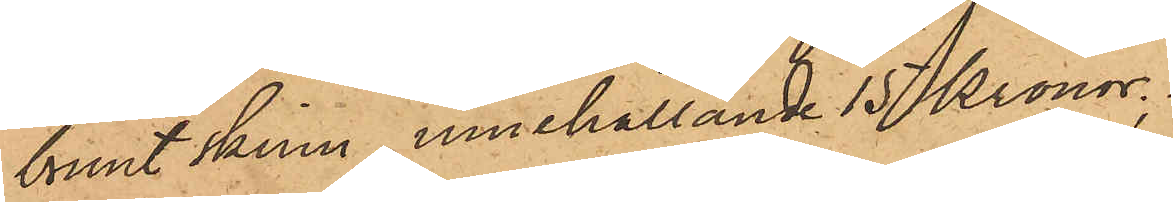brunt skinn, innehållande 15 Kronor.
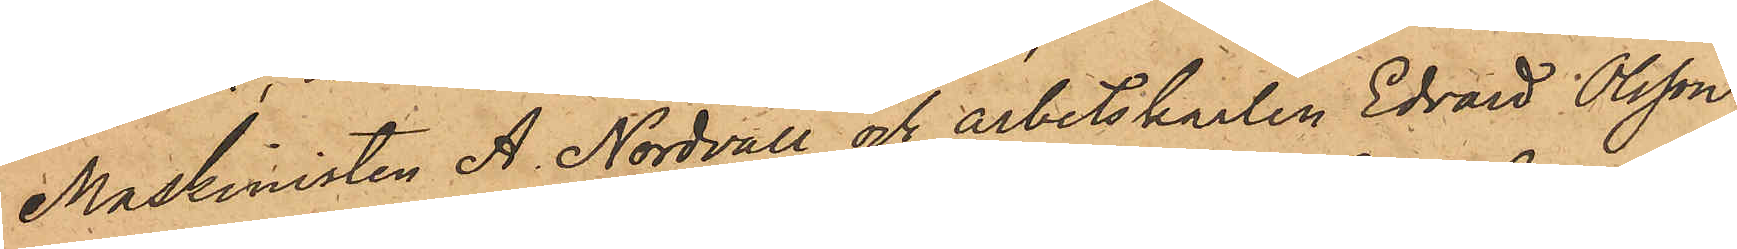Maskinisten A Nordvall och arbetskarlen Edvard Olsson,
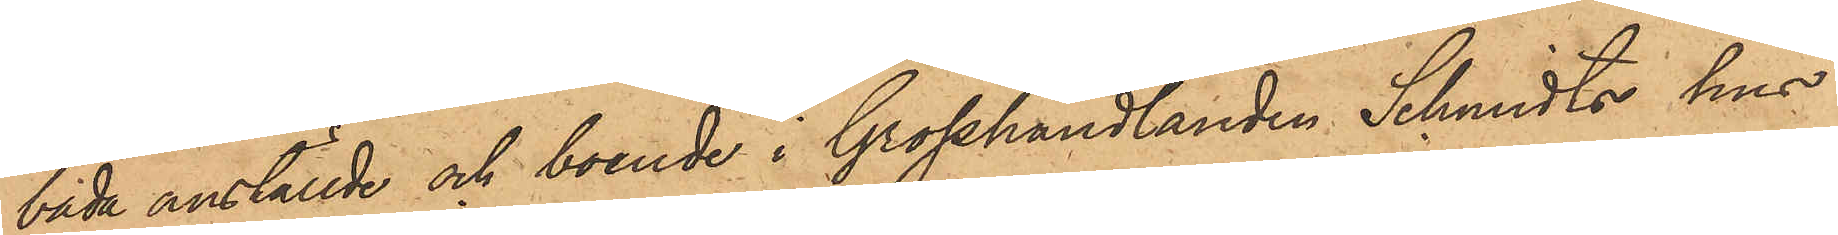båda anställde och boende i Grosshandlanden Schmidts hus
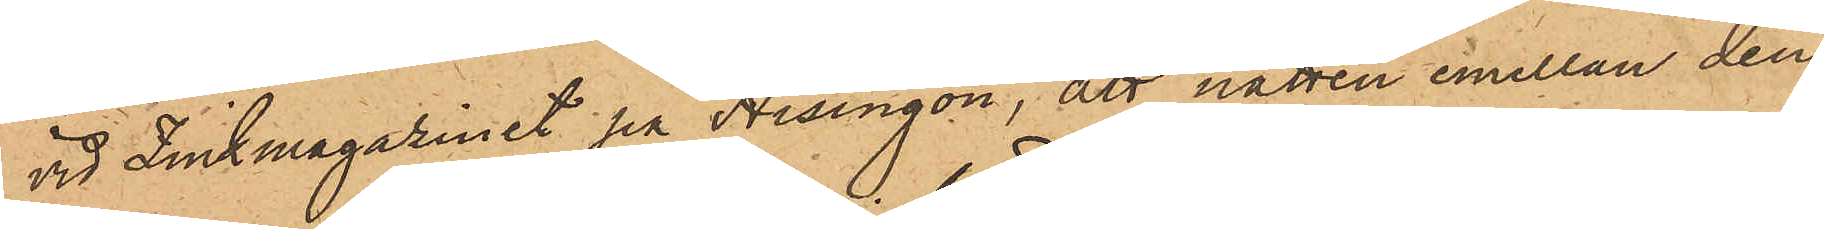vid Zinkmagazinet på Hisingön, att natten emellan den
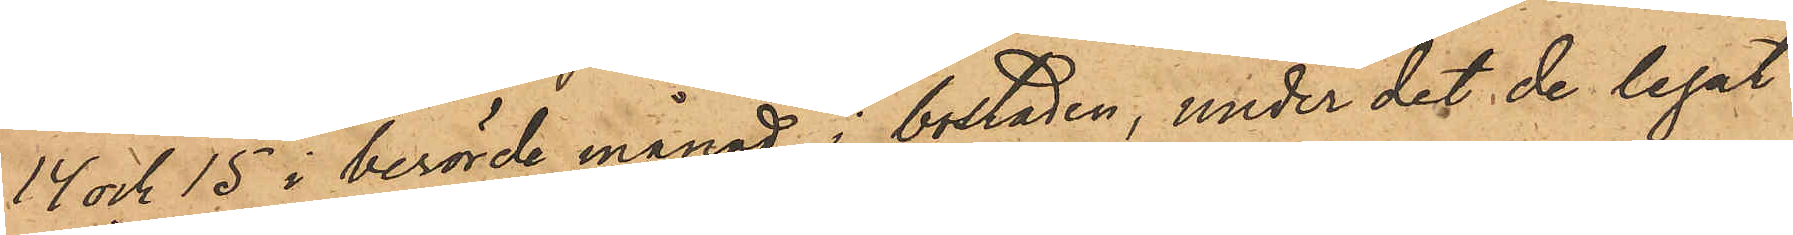14 och 15 i berörde månad i bostaden, under det de legat
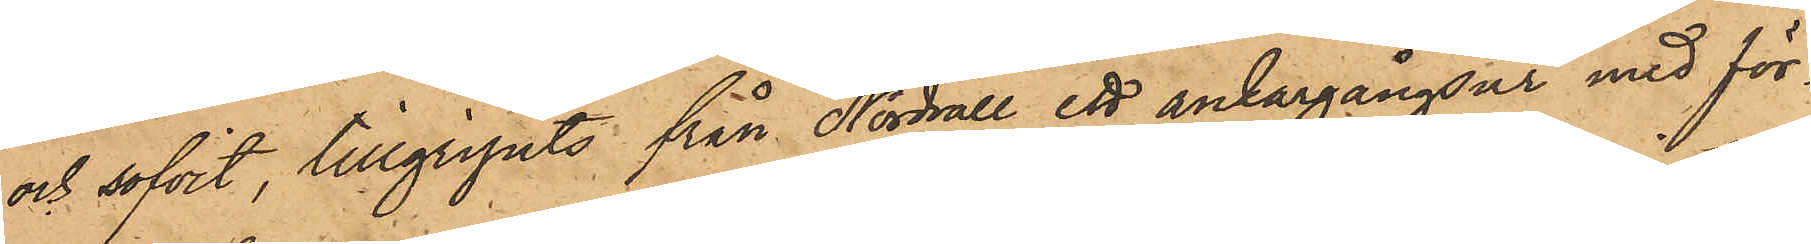och sofvit, tillgripits från Nordvall ett ankargångsur med för¬
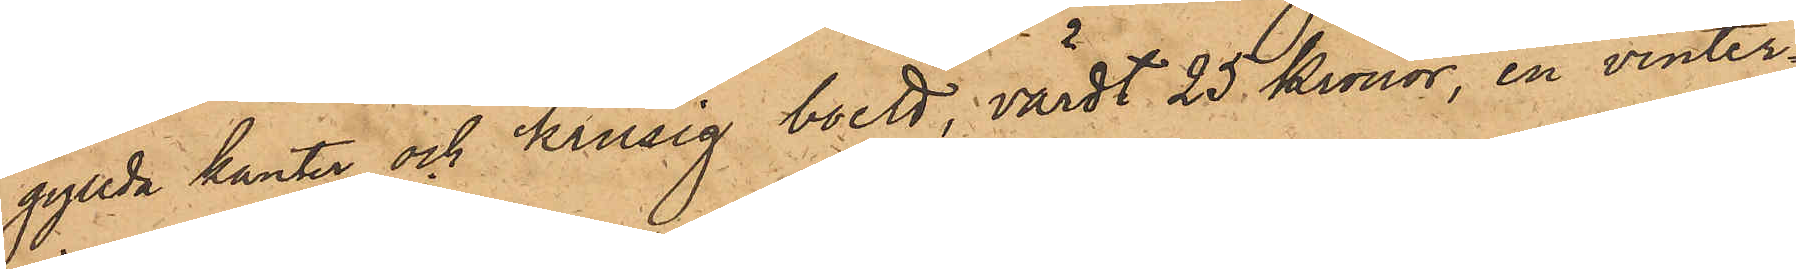gyllda kanter och krusig boett, värdt 25 Kronor, en vinter¬
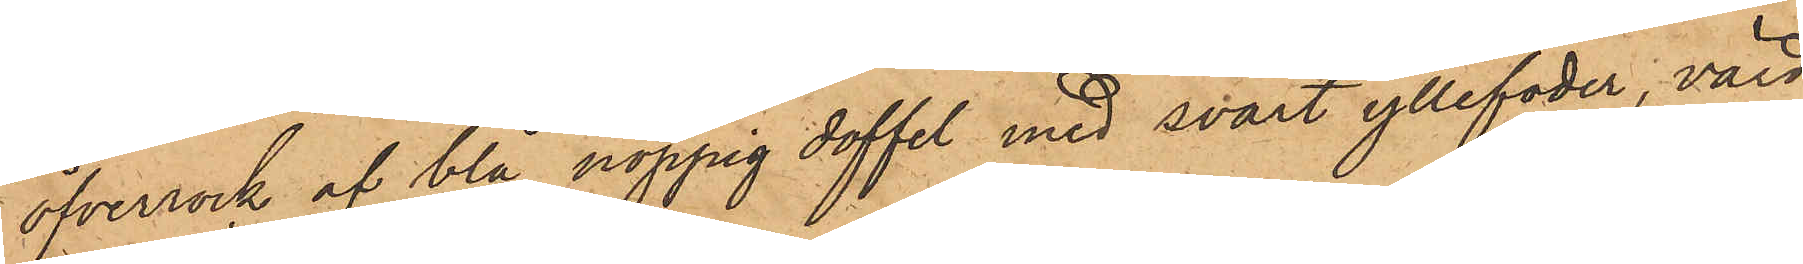öfverrock af blå noppig doffel med svart yllefoder, värd
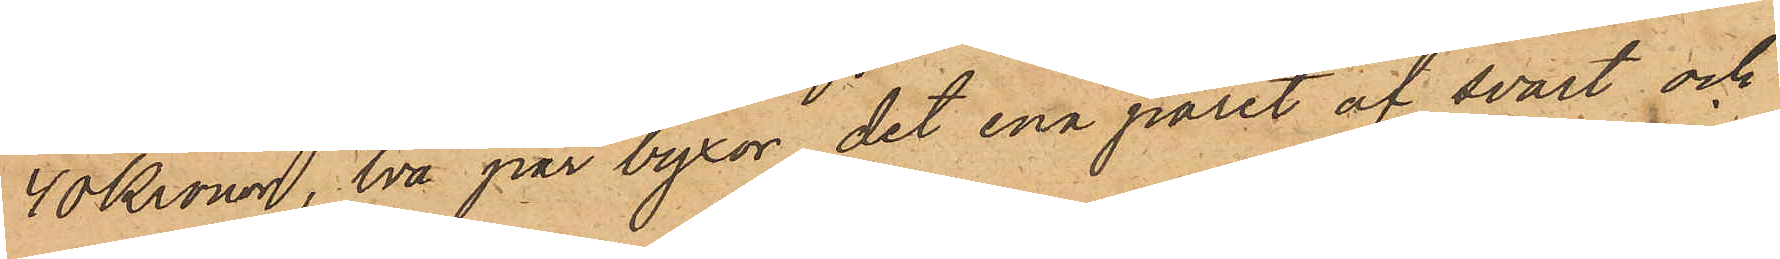40 Kronor, två par byxor det ena paret af svart och
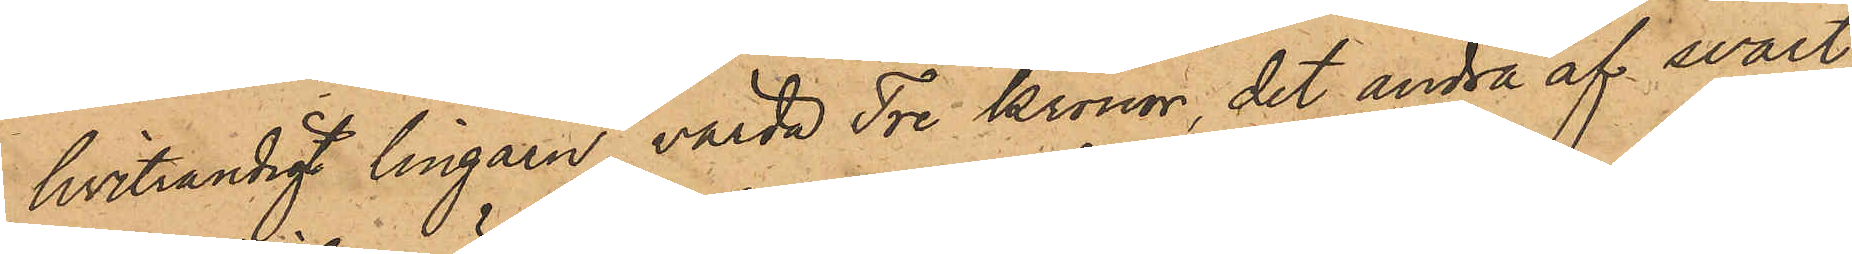hvitrandigt lingarn, värda Tre Kronor, det andra af svart¬
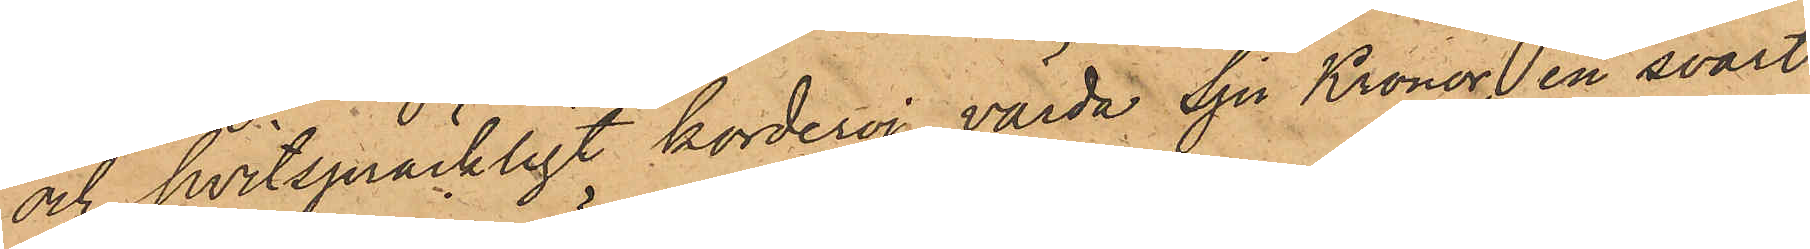och hvitspräckligt korderoj, värda Sju Kronor, en svart
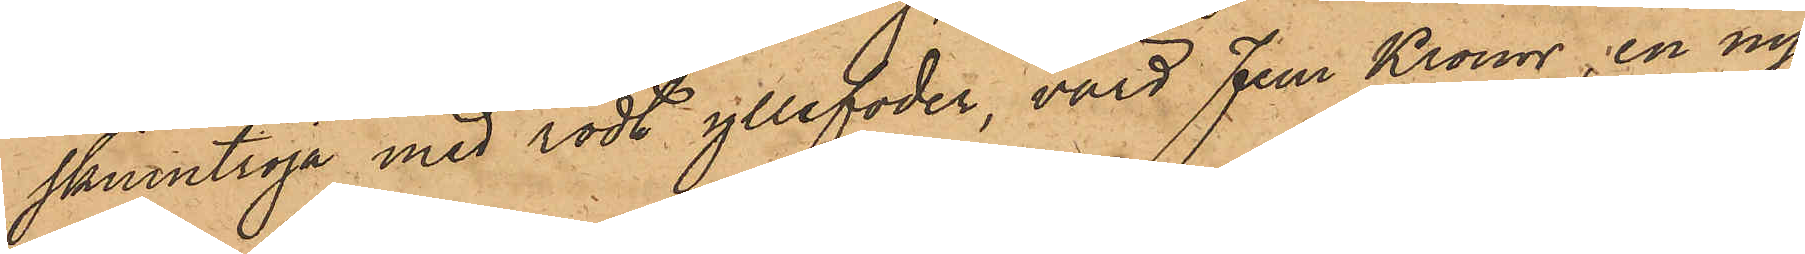skinntröja med rödt yllefoder, värd Fem Kronor, en ny
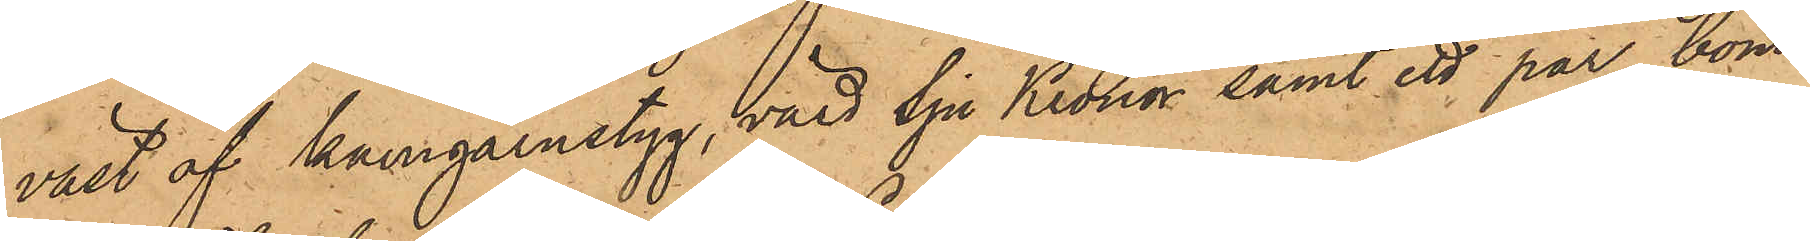väst af kamgarnstyg, värd Sju Kronor samt ett par bom¬
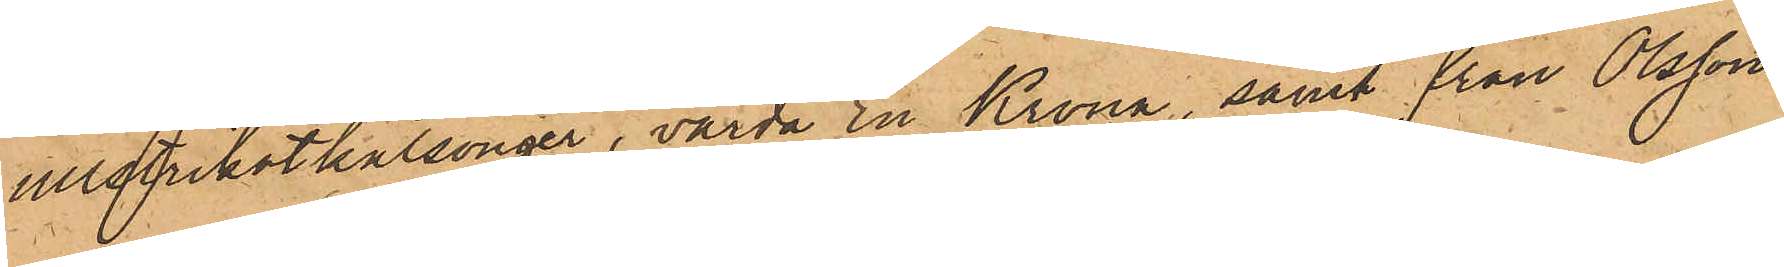ullstrikotkalsonger, värda En Krona, samt från Olsson
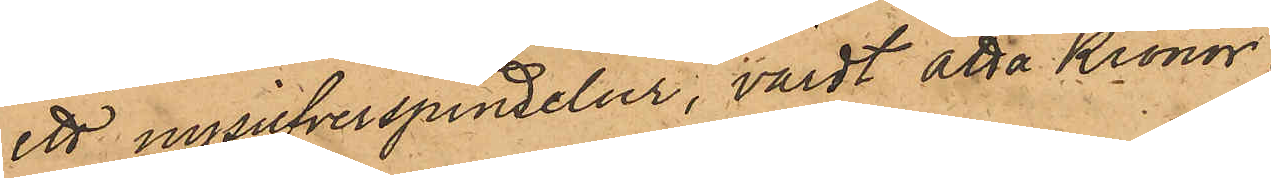ett nysilfverspindelur, värdt åtta Kronor.
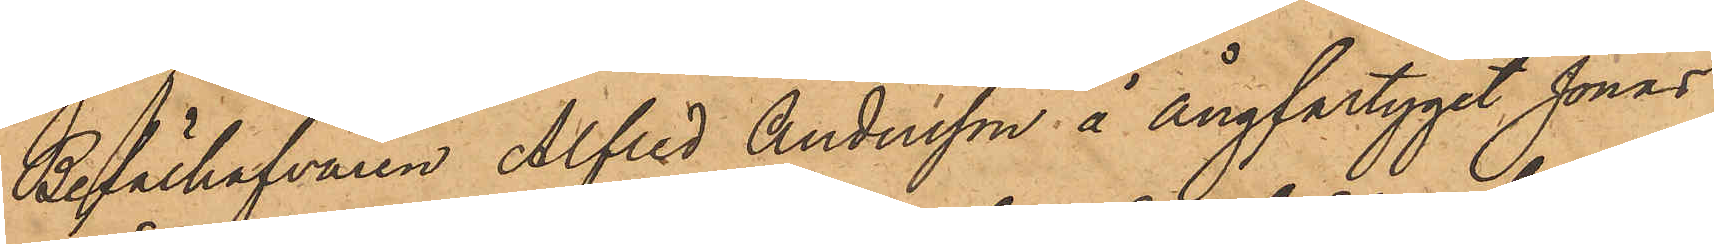Befälhafvaren Alfred Andersson å Ångfartyget Jonas
